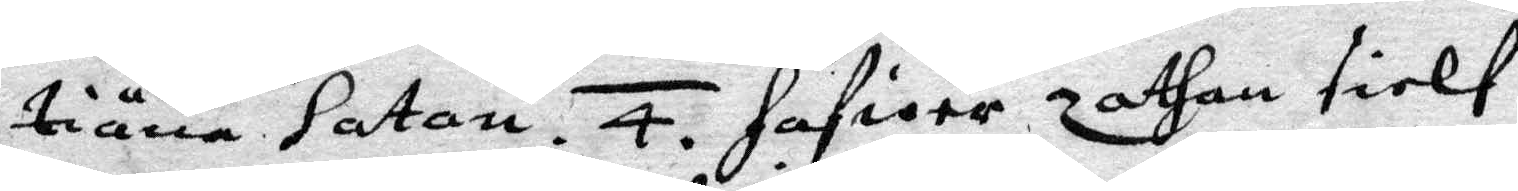tiäna Satan. 4. hafwer zathan sielf
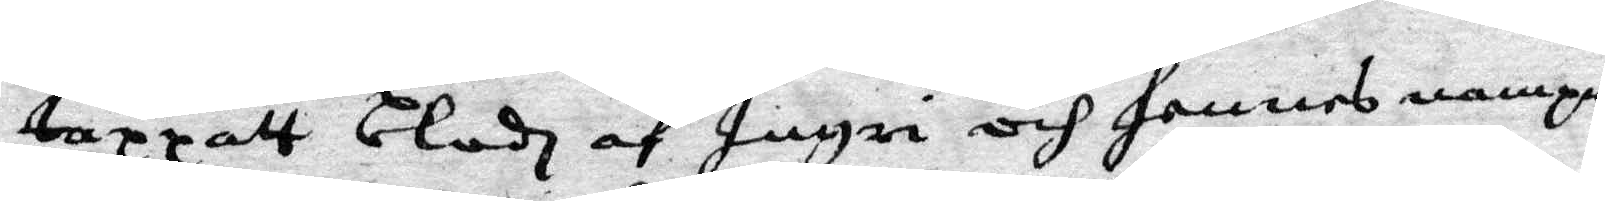tappatt blodh af Ingri och hennes nampn
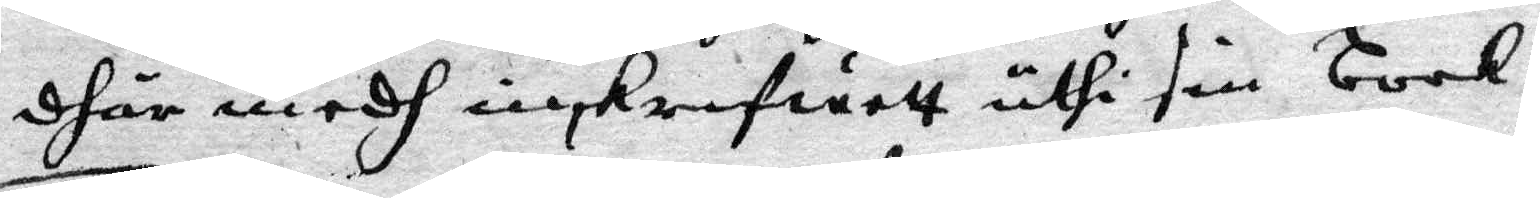dhär medh inskrefwett uthi sin book.
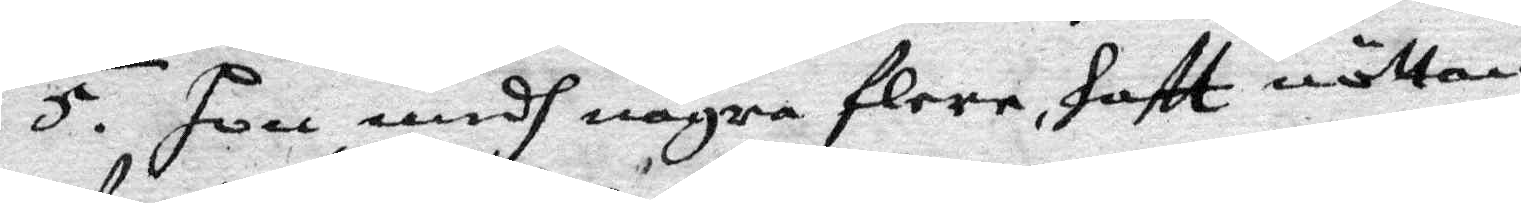5. Hon, medh några flera, haftt nöttan
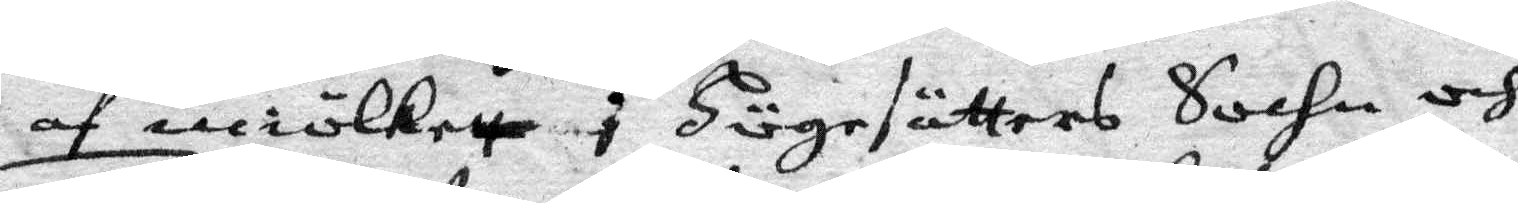af miölkett i Högesätters Sochn och
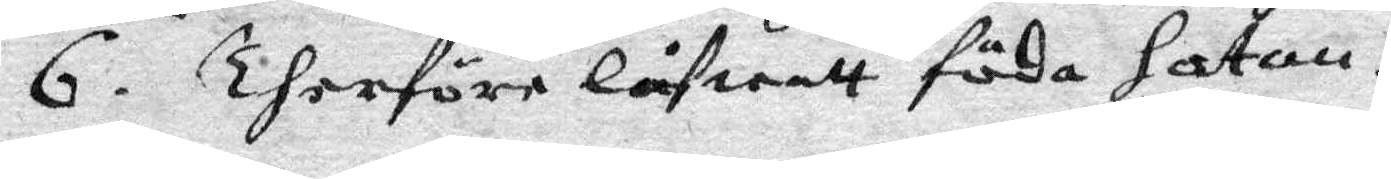6. Therföre låfwatt föda Satan.
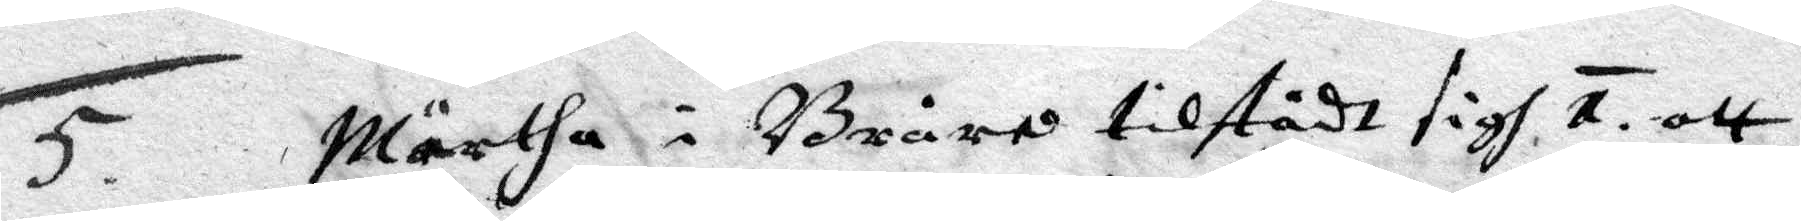5. Märtha i Bråra tilstådt sigh 1. att
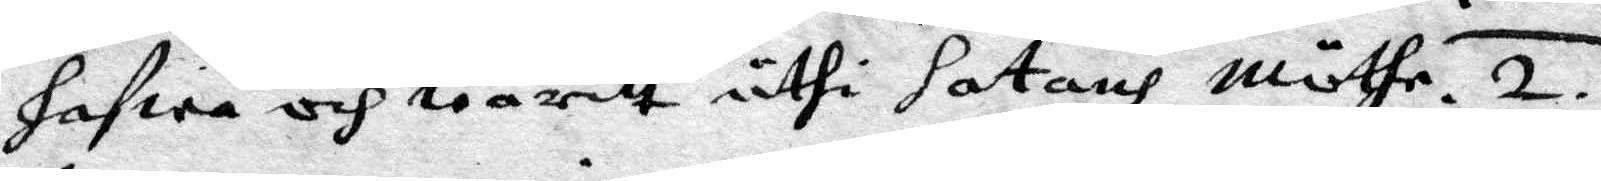hafwa och waritt uthi Satans Möthe. 2.
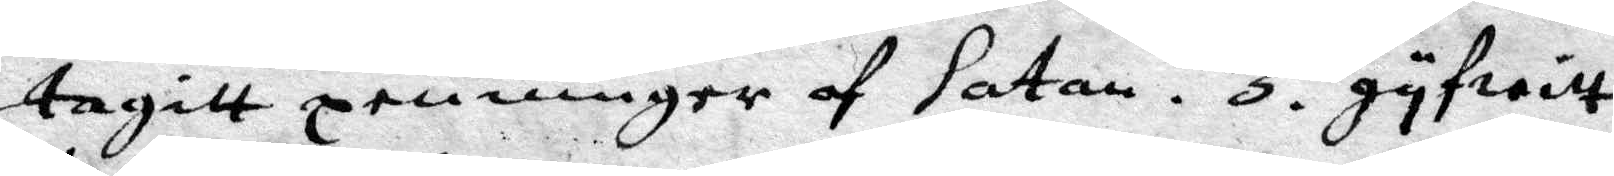tagitt penningar af Satan. 3. gyfwitt
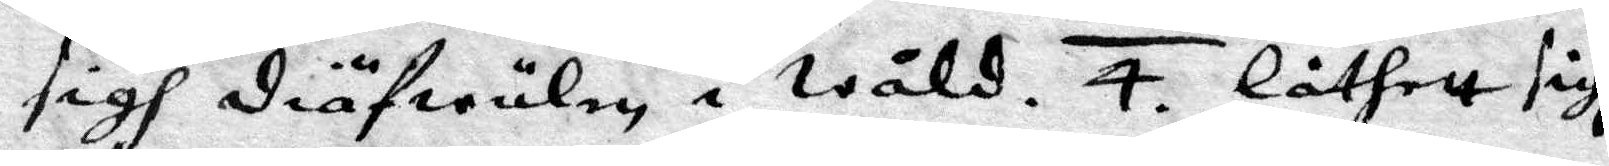sigh diäfwulen i Wåld. 4. låthitt sigh
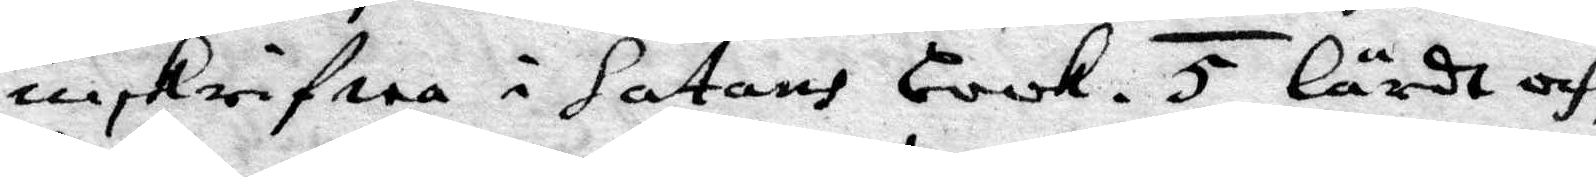inskrifwa i satans book. 5. Lärdt och
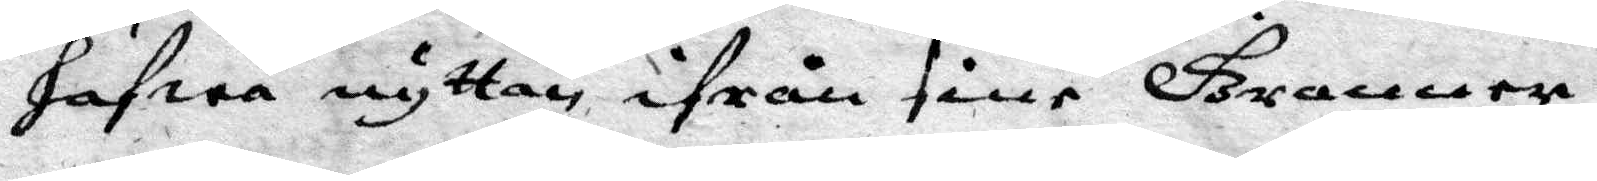hafwa nyttan ifrån sine Grannar.
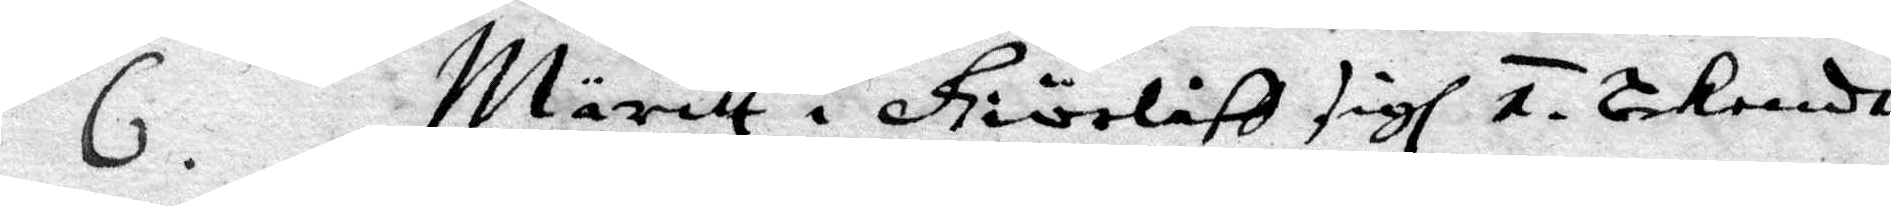6. Märitt i Giörlist sigh 1. bekendh
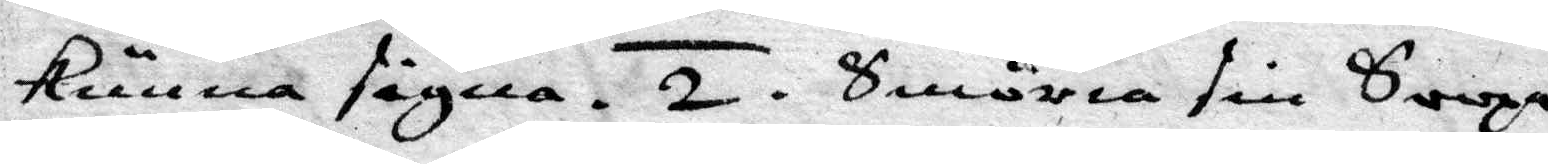kunna signa. 2. Smöria sin Soopa
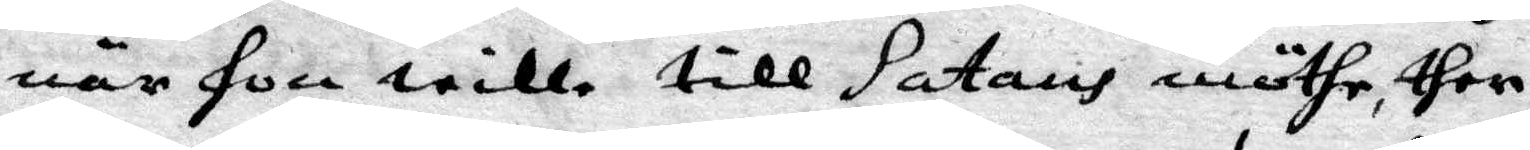när hon wille till satans möthe, ther
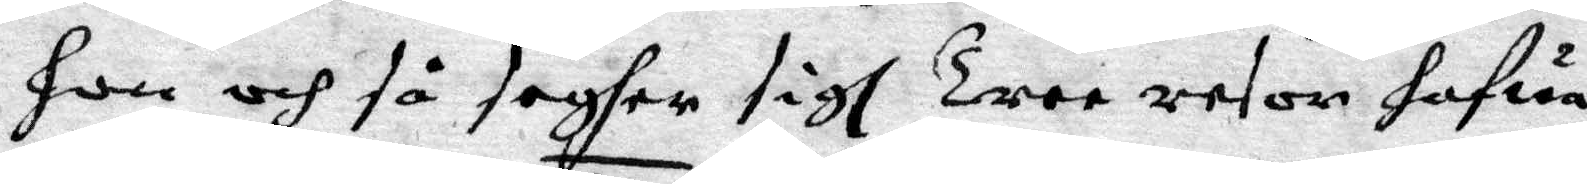hon och så segher sigh Tree resor hafua
